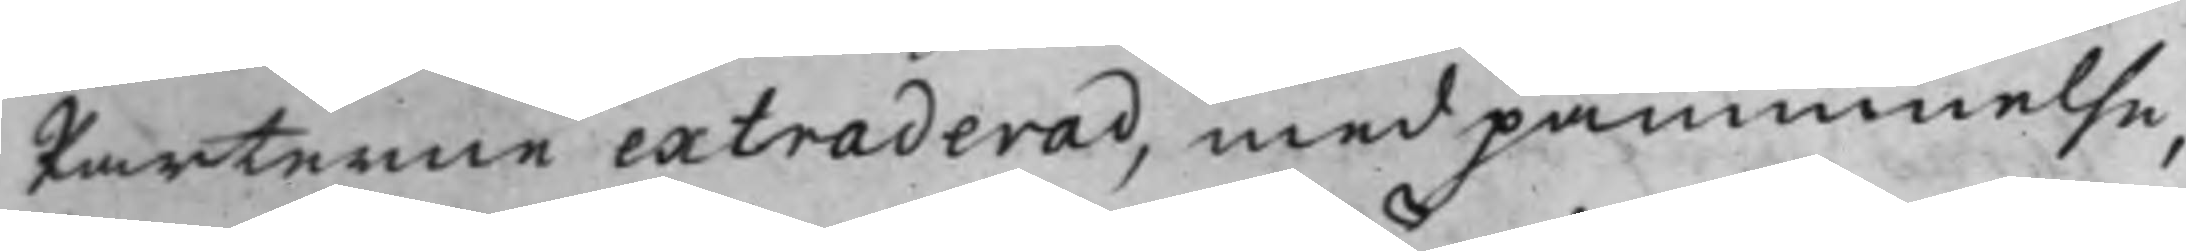Parterne extraderad, med påminnelse,
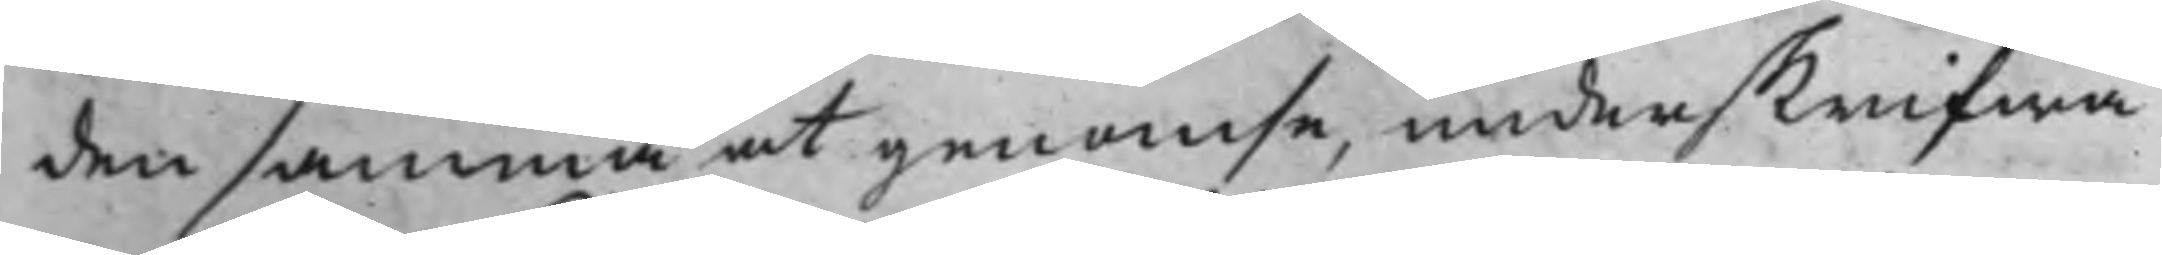den samma at genomse, underskrifwa
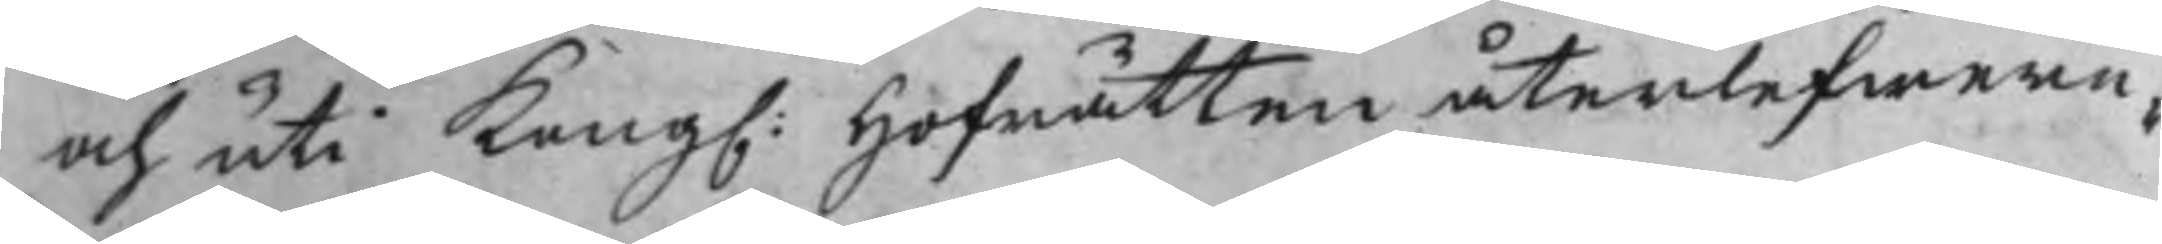och uti Kong. Hofrätten återlefwere¬
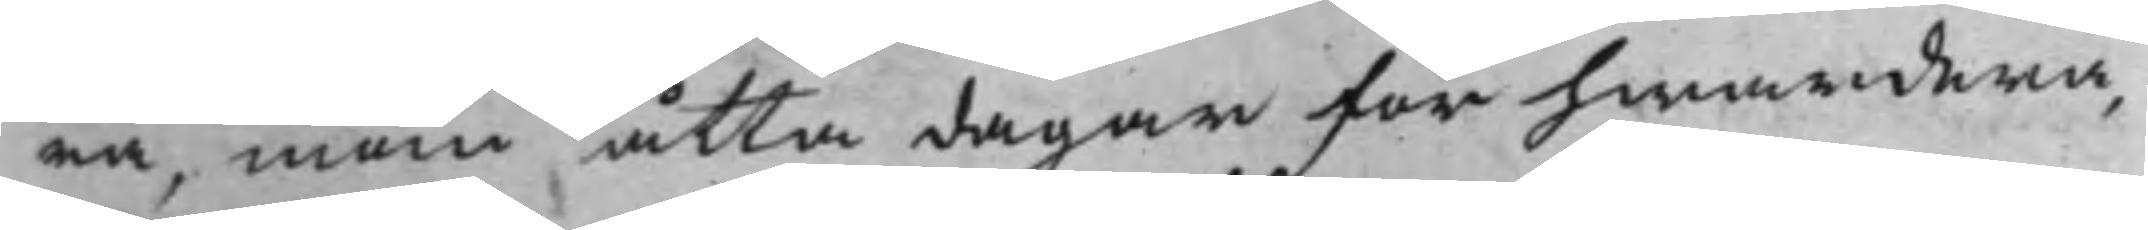ra, inom åtta dagar för hwardera,
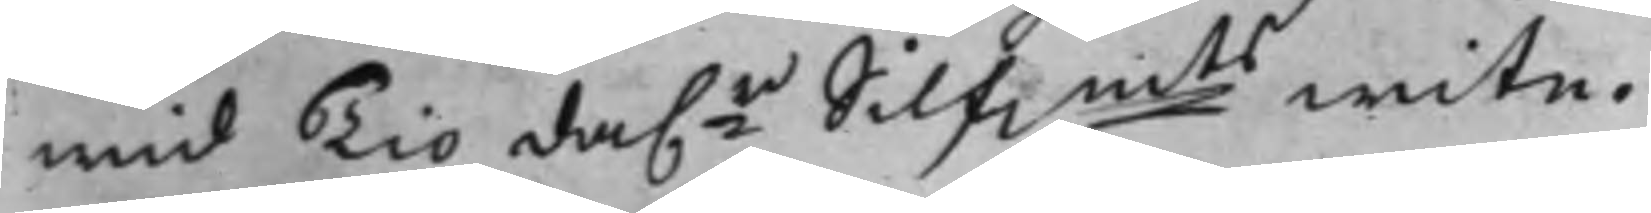wid Tio da.r Silfmts wite.
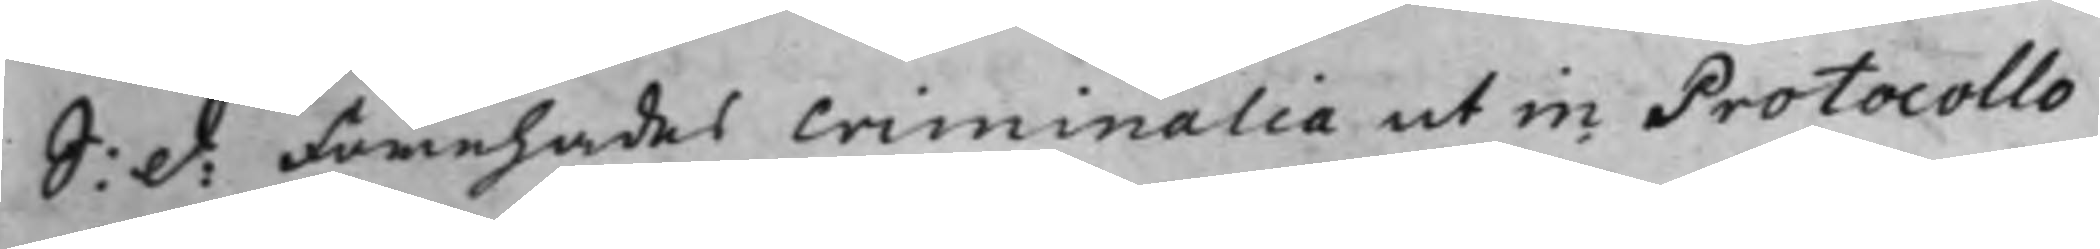S: d: Förehades Criminalia ut in Protocollo
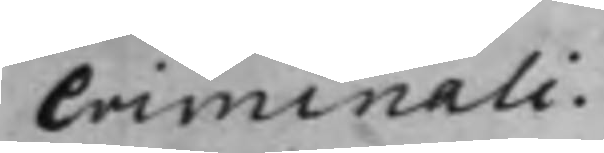Criminali.
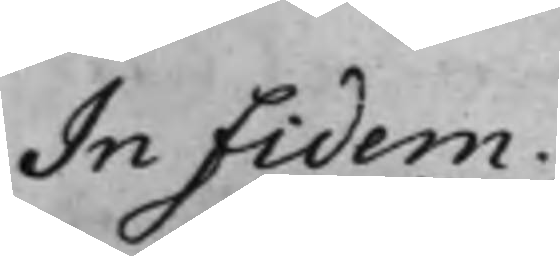In fidem.
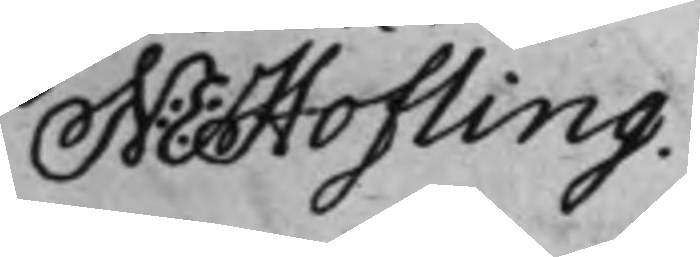N: E: Hofling.
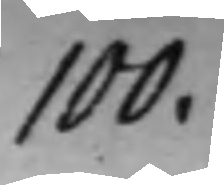100.
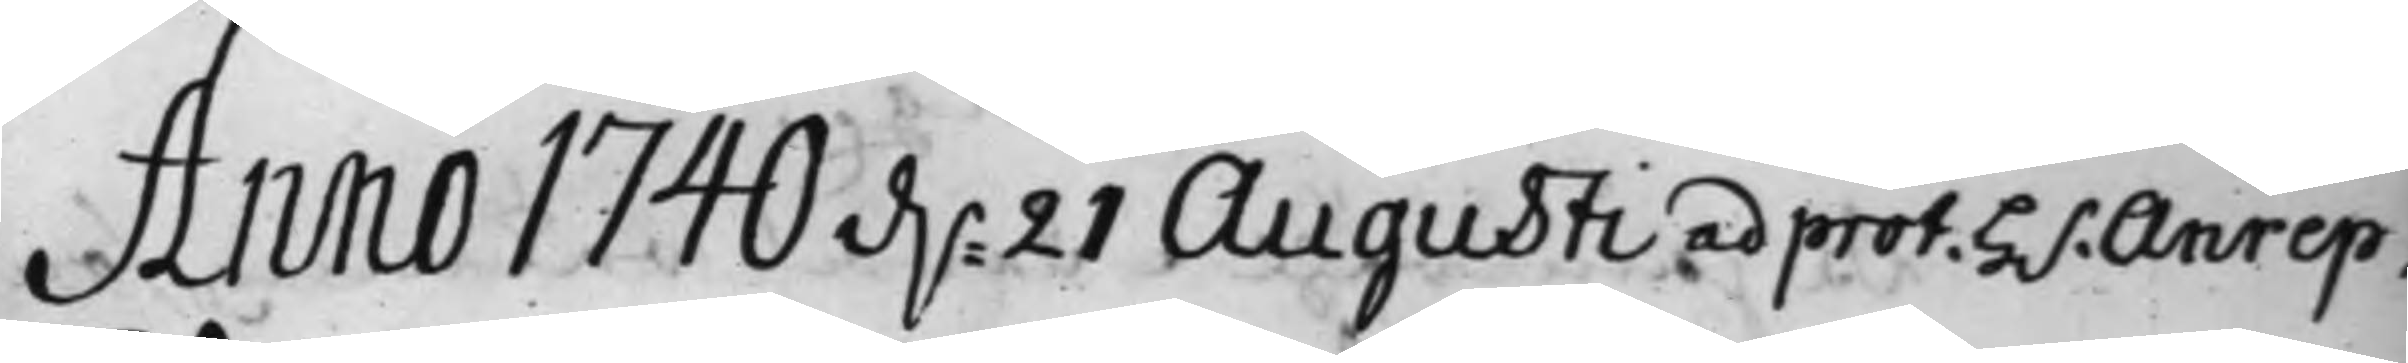Anno 1740 d.n 21 Augusti ad prot. H.r Anrep.
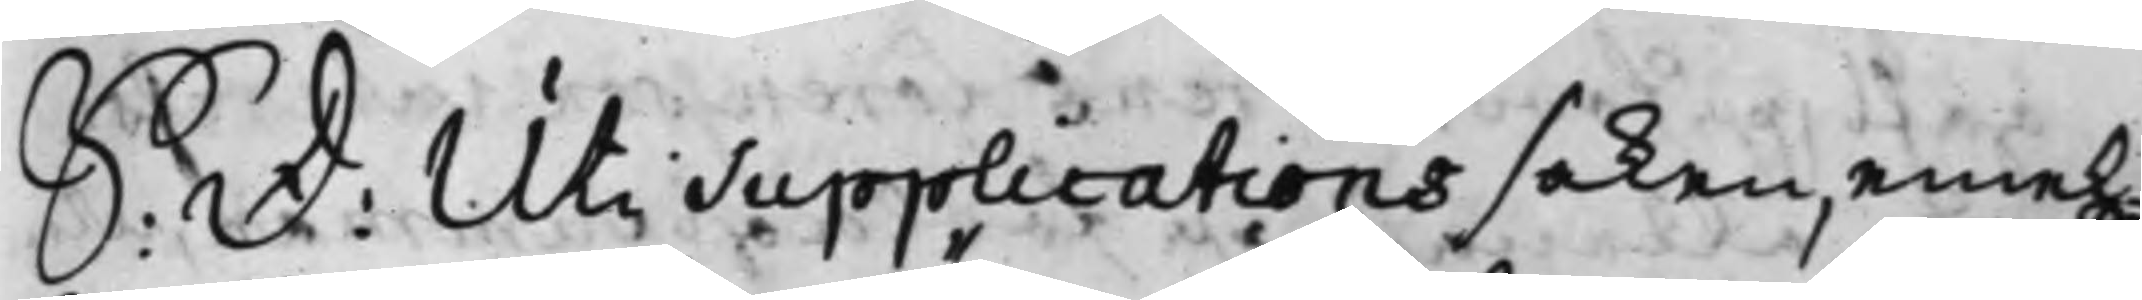S: D: Uti Supplications saken, emel¬
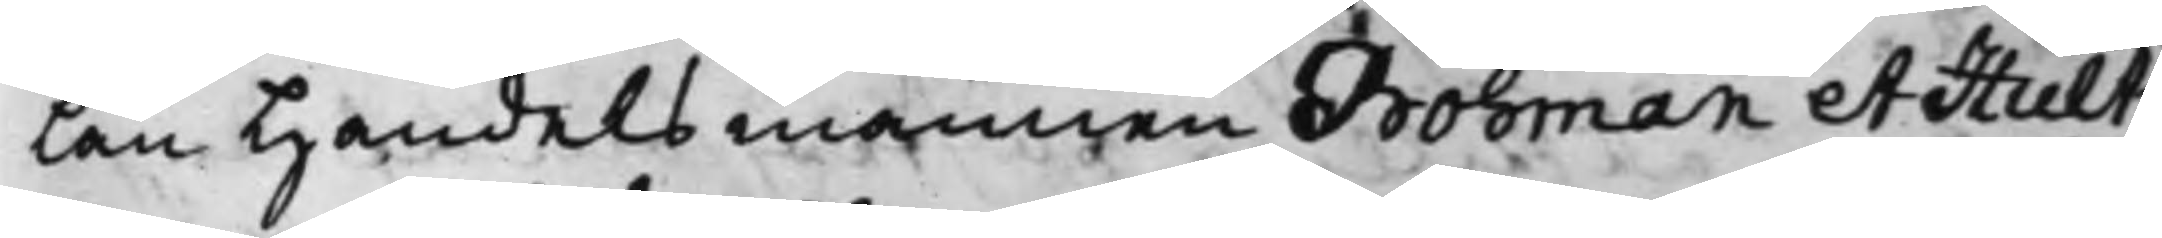lan Handelsmännen Bohman et Hult¬
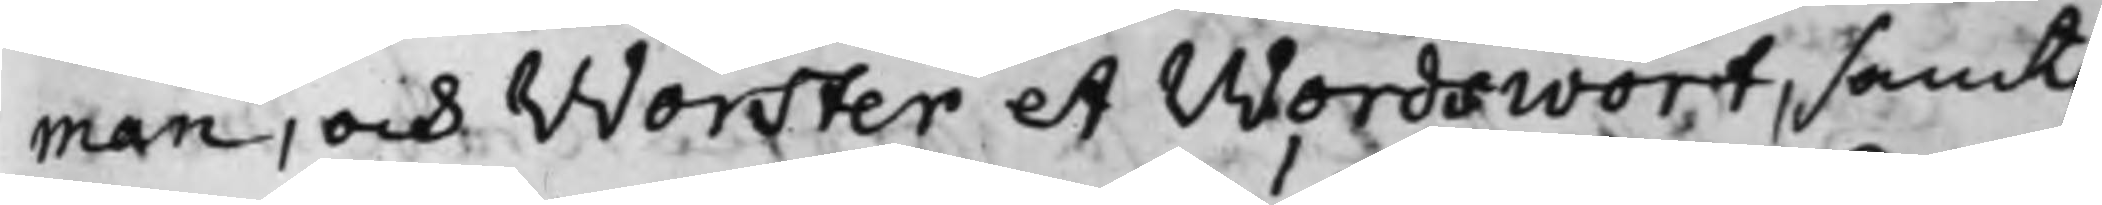man, och Worster et Wordswort, samt
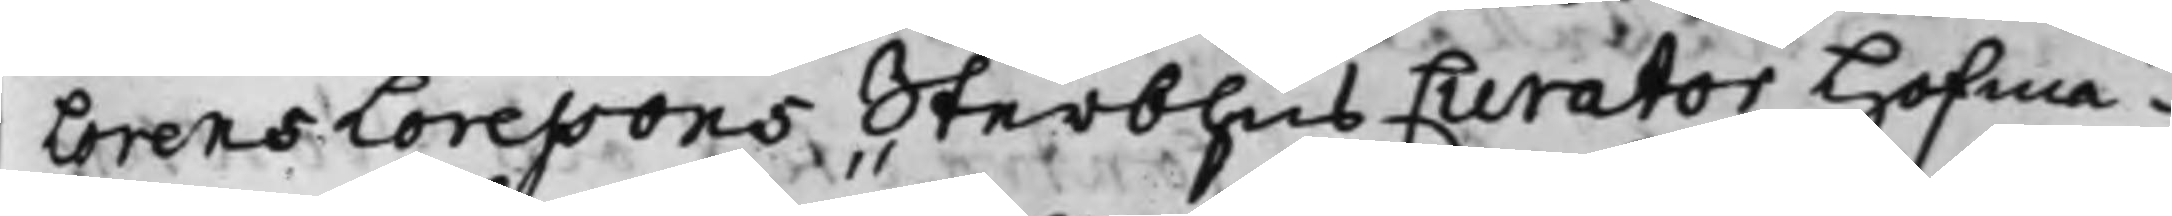Lorens Loressons Sterbhus Curator Hofmä¬
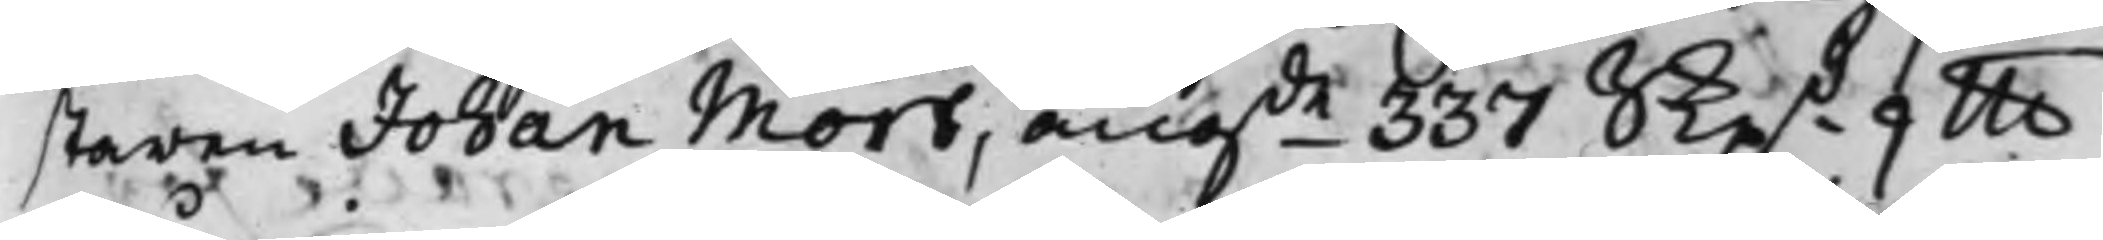staren Johan Mört, angde 337 Skpd 9 llb
